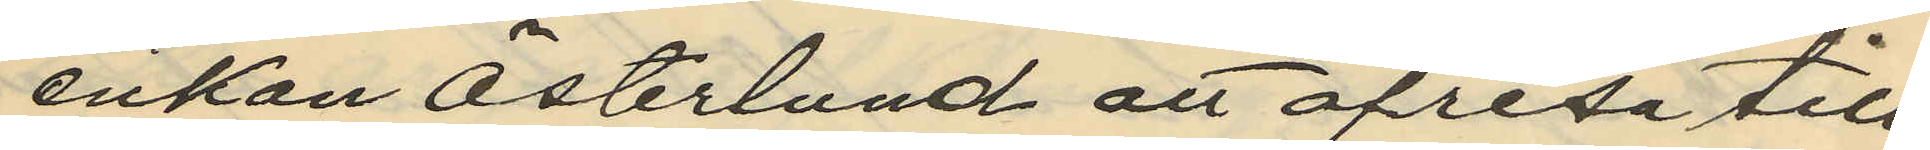enkan Österlund att afresa till
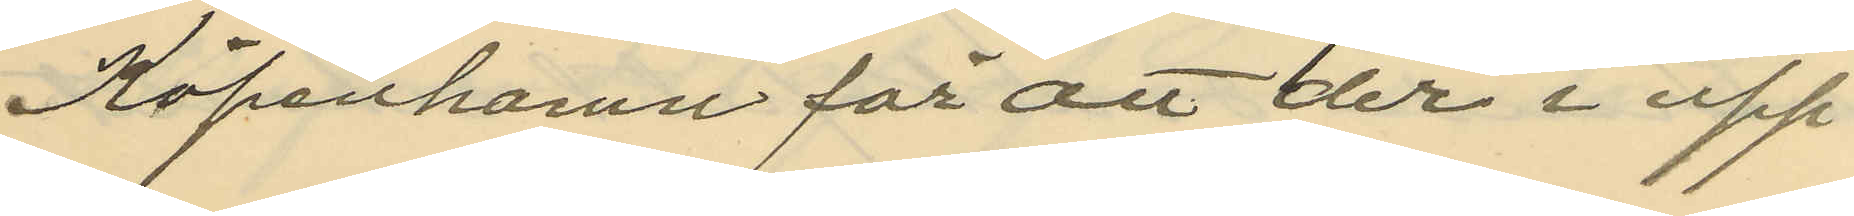Köpenhamn för att der i upp¬
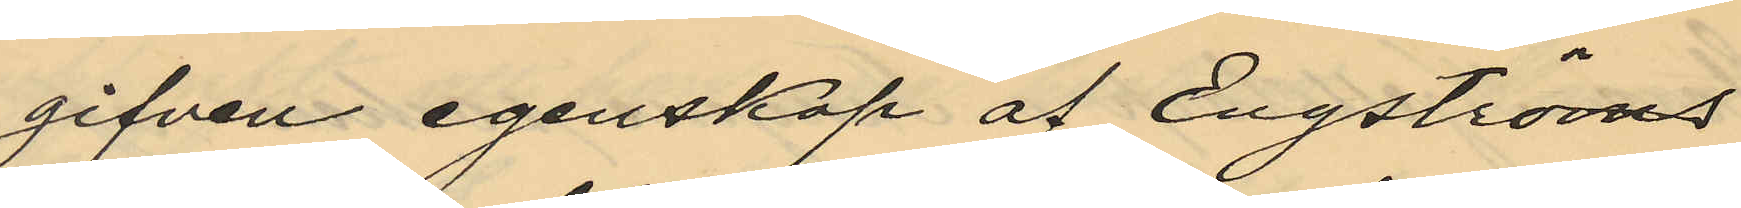gifven egenskap af Engströms
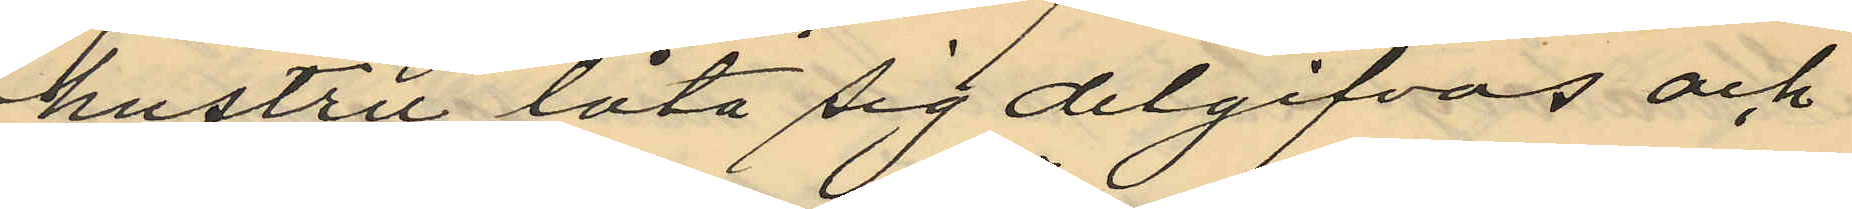hustru låta sig delgifvas och
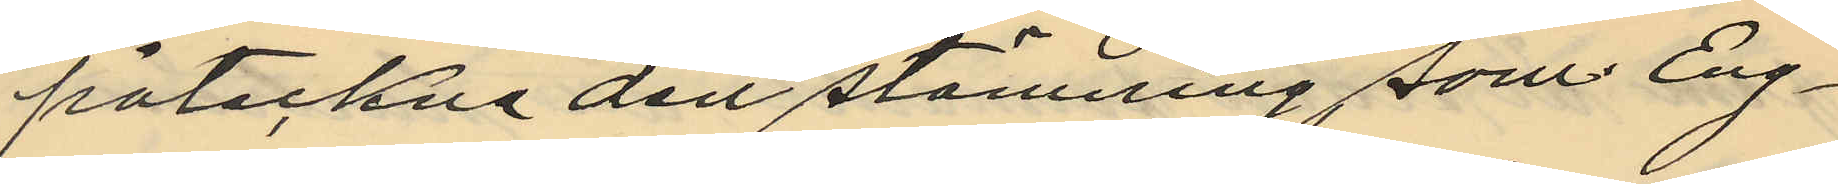påteckna den stämning som Eng¬
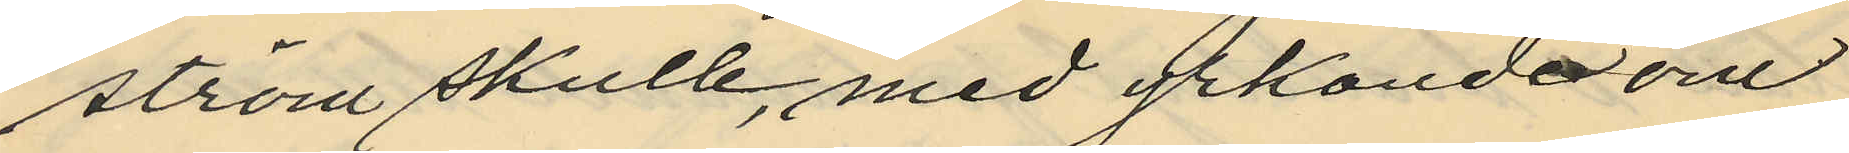ström skulle, med yrkande om
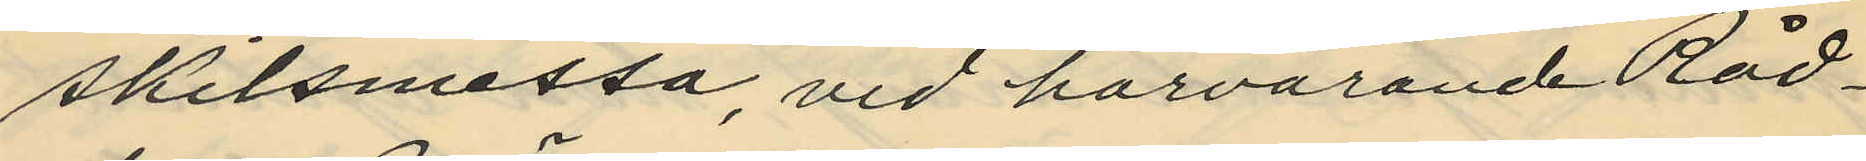skilsmessa, vid härvarande Råd¬
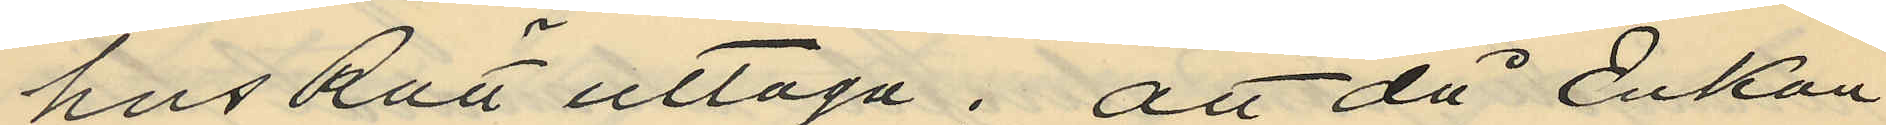hus Rätt uttaga; att då Enkan
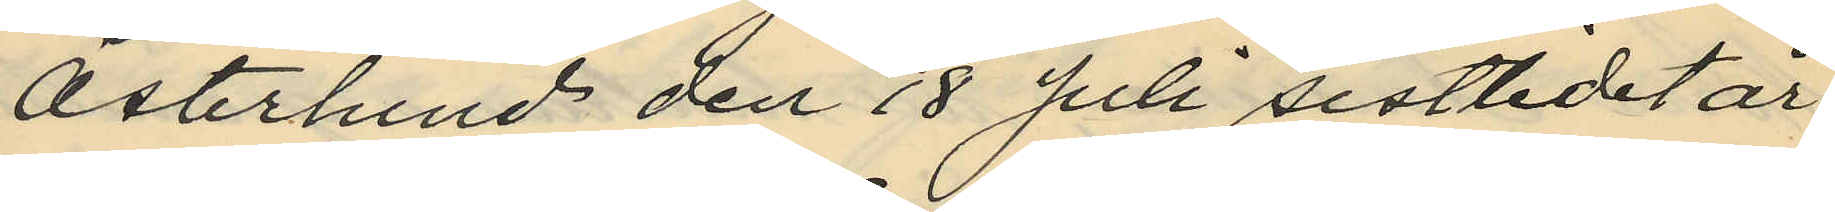Österlund den 18 Juli sistlidet år
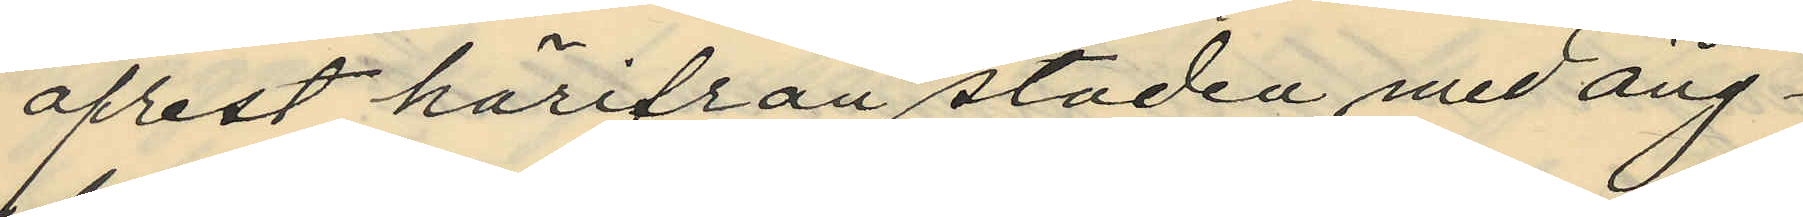afrest härifrån staden med ång¬
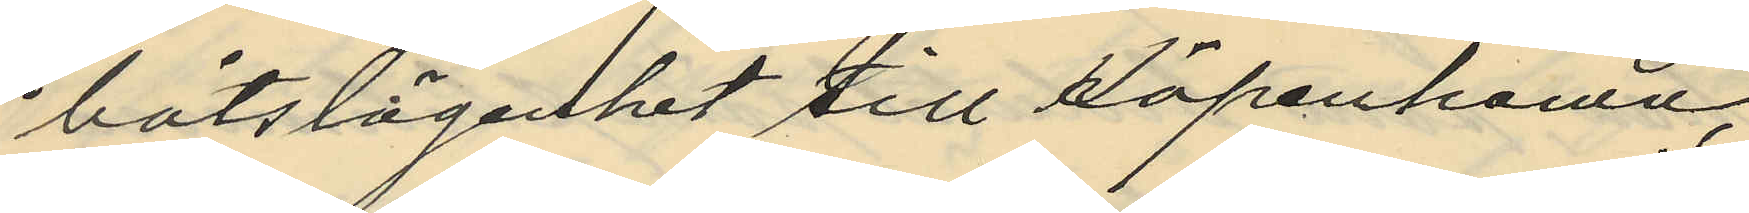båtslägenhet till Köpenhamn,
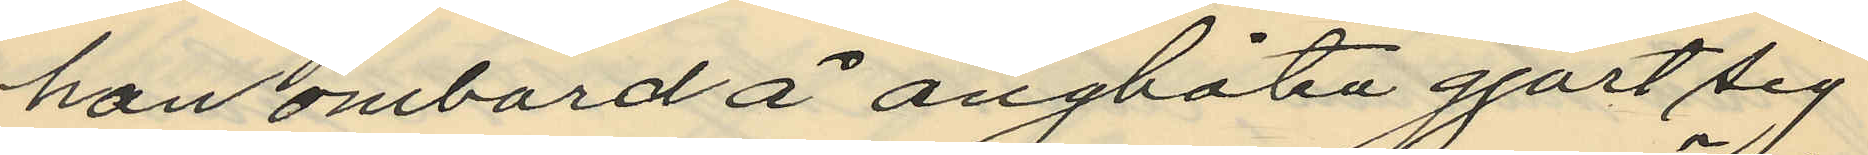han ombord å ångbåten gjort sig
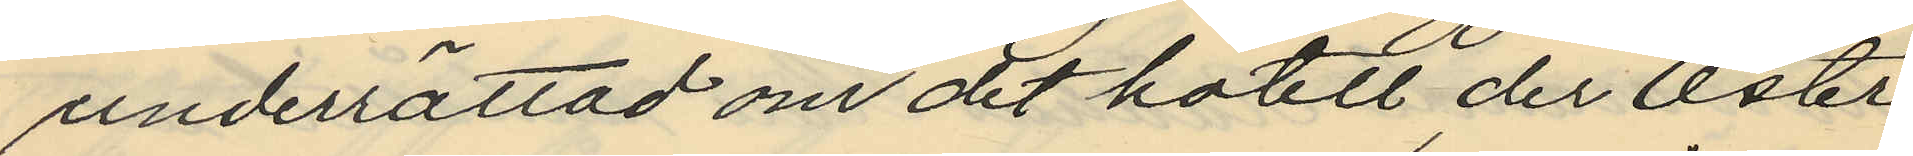underrättad om det hotell, der Öster
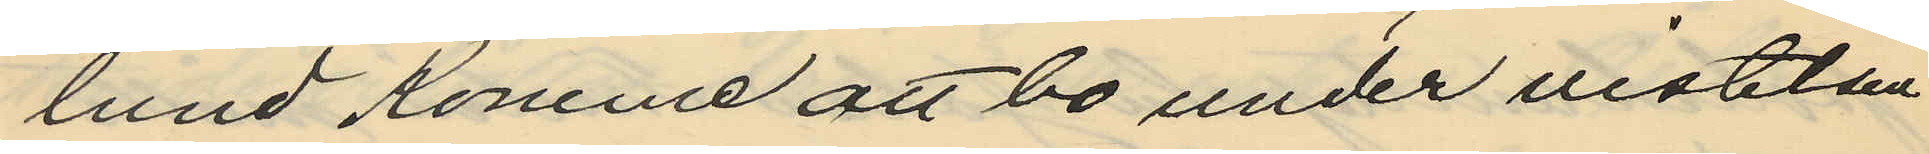lund Komme att bo under vistelsen
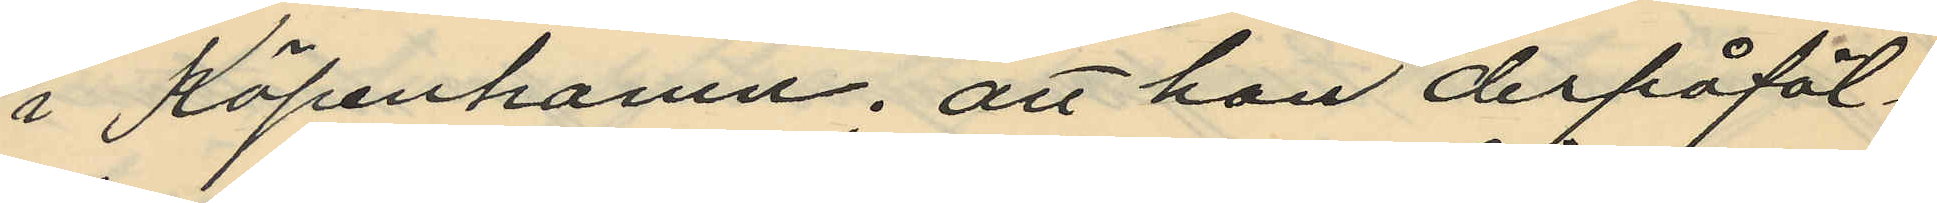i Köpenhamn, att han derpåföl¬
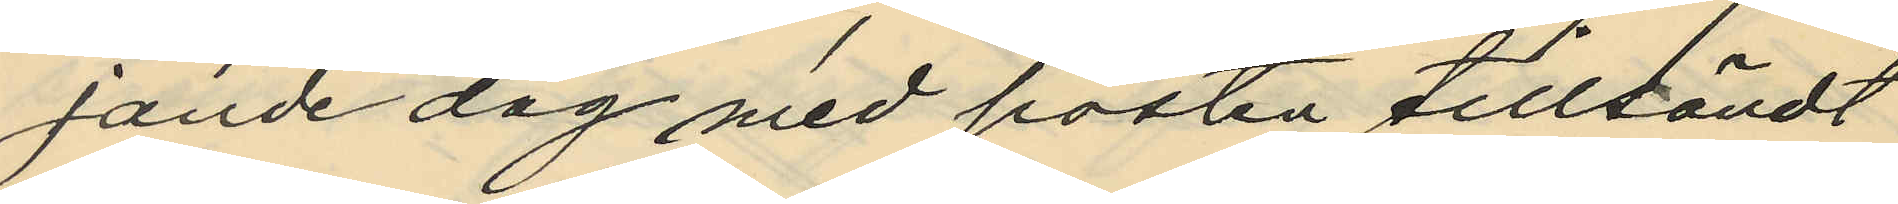jande dag med posten tillsändt
